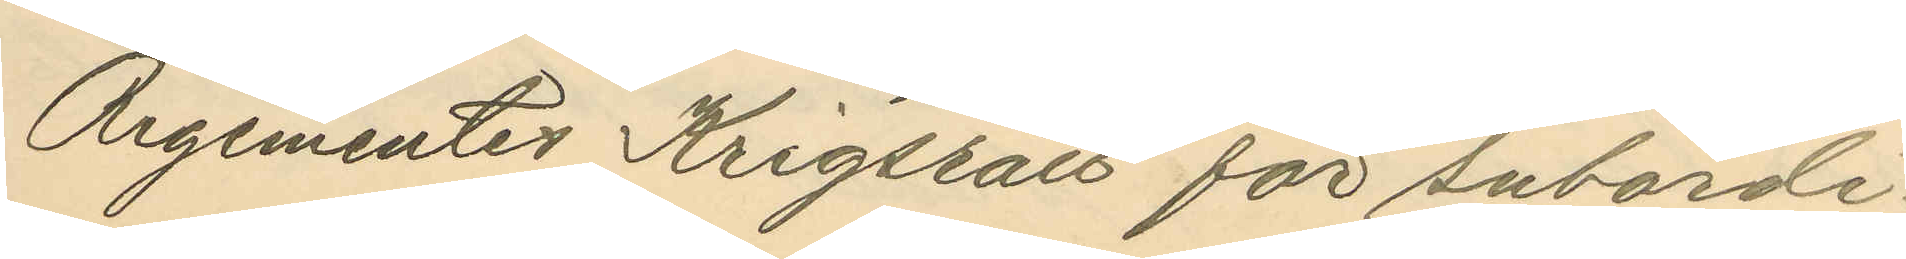Regementes Krigsrätt för subordi¬
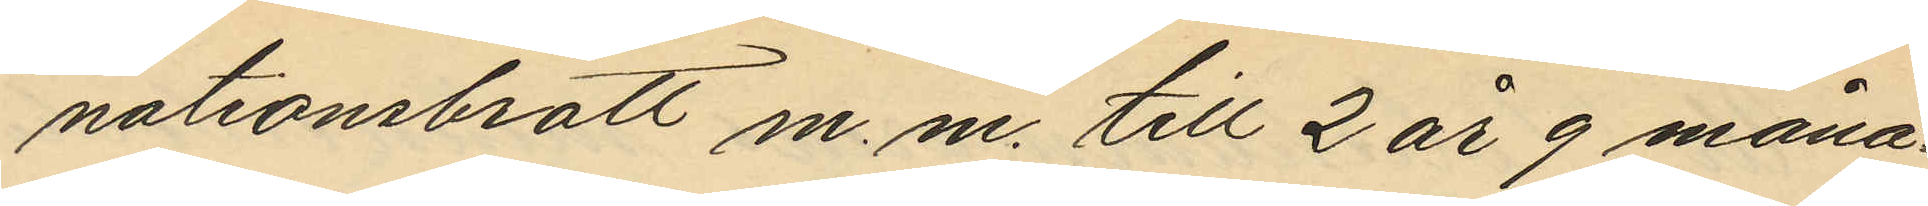nationsbrott m.m. till 2 år 9 måna¬
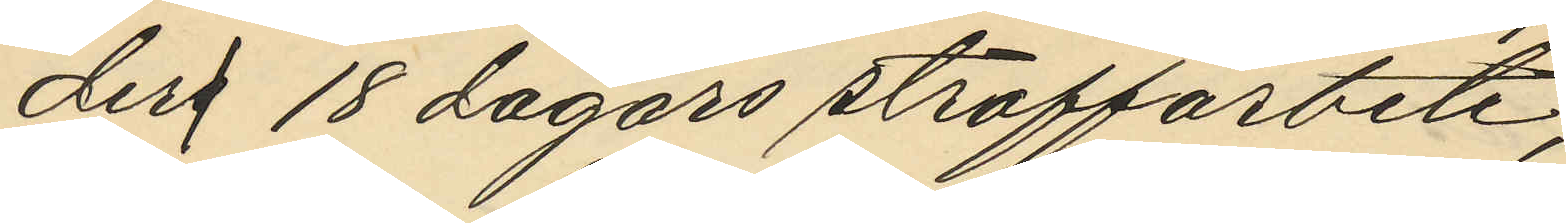ders 18 dagars straffarbete;
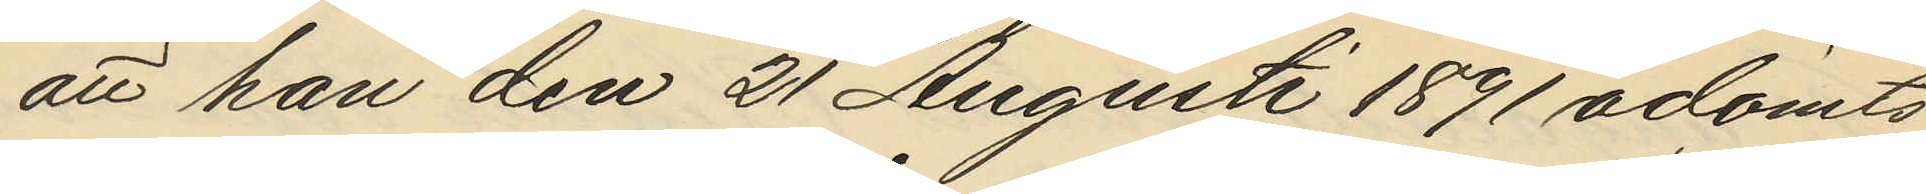att han den 21 Augusti 1891 ådömts
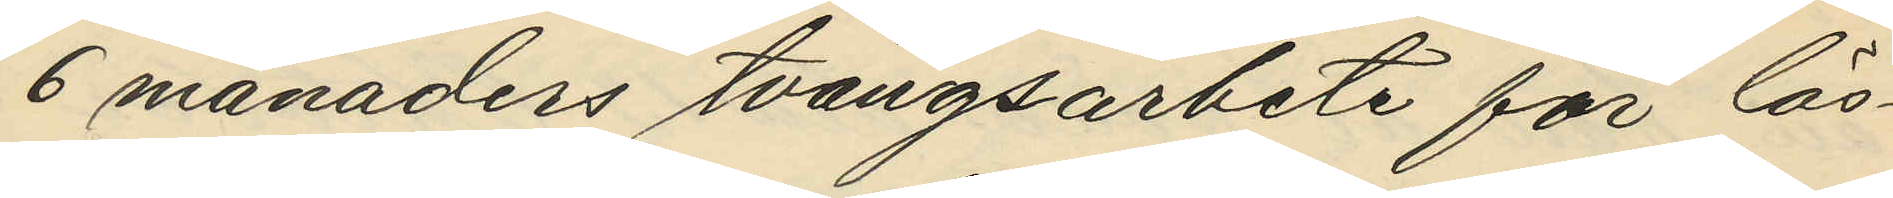6 månaders tvångsarbete för lös¬
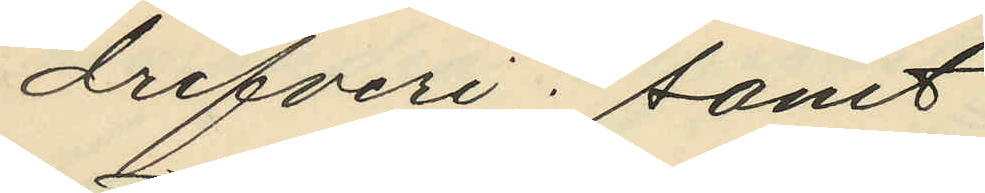drifveri; samt
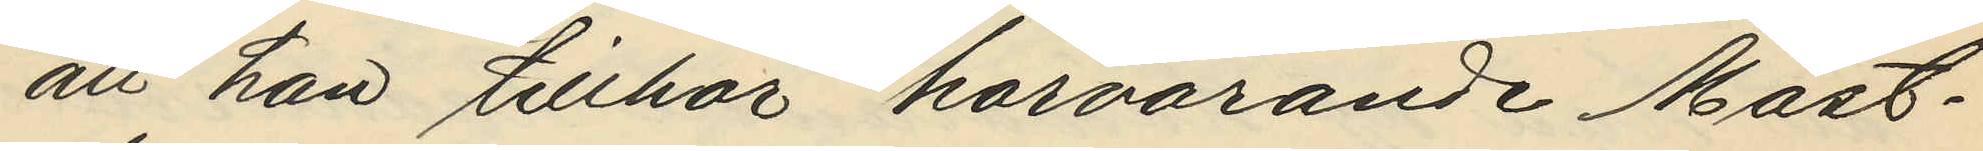att han tillhör härvarande Mast¬
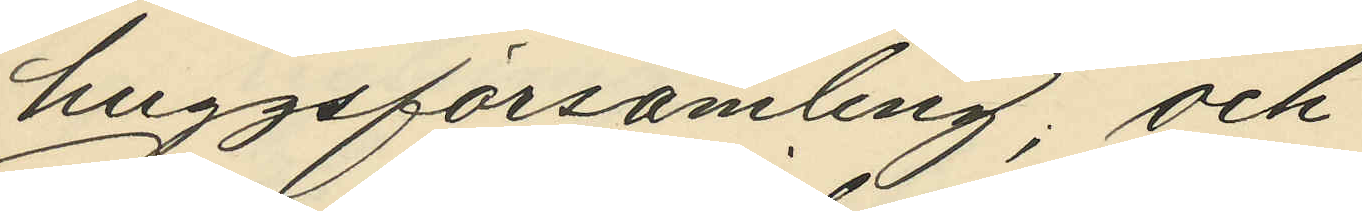huggsförsamling; och
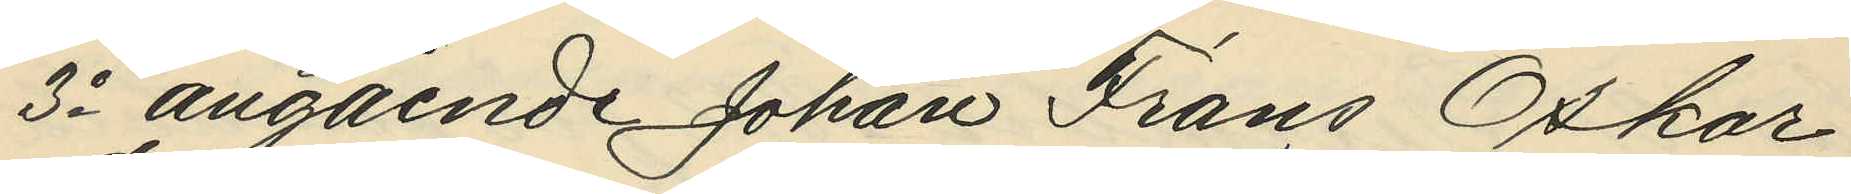3o angående Johan Frans Oskar
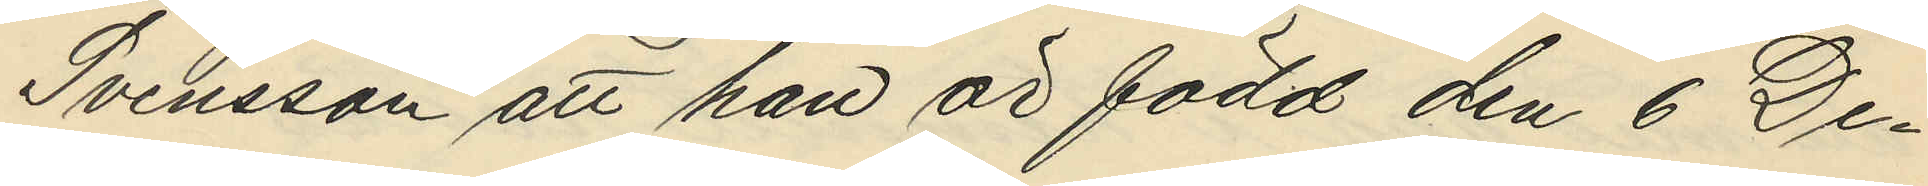Svensson att han är född den 6 De¬
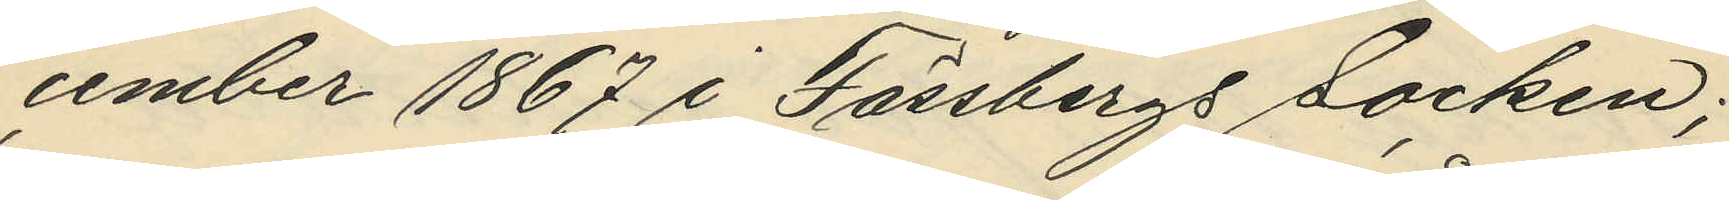cember 1867 i Fässbergs Socken;
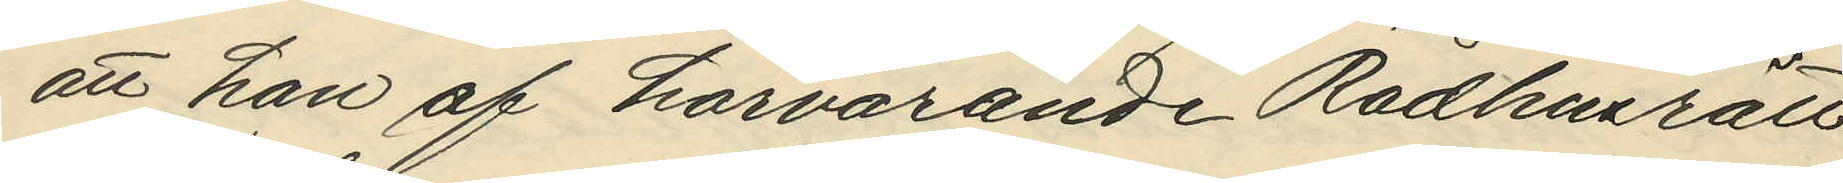att han af härvarande Rådhusrätt
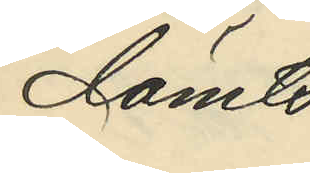dömts
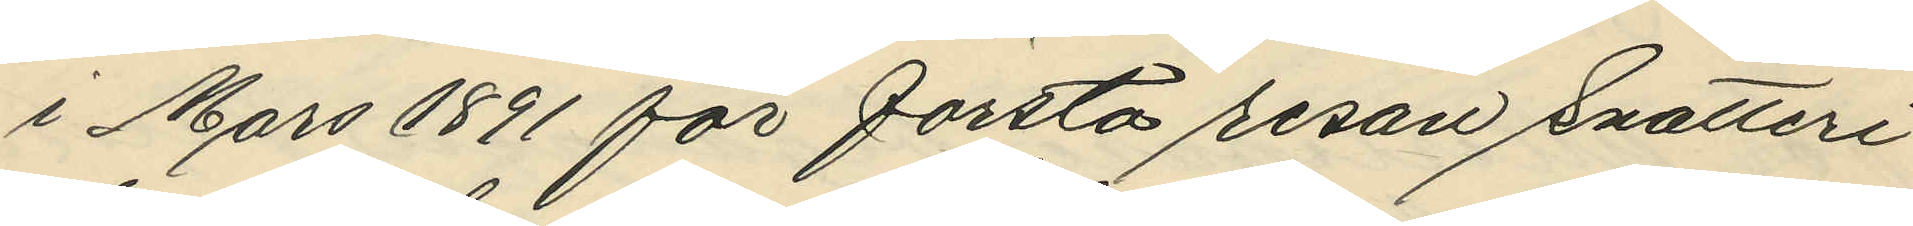i Mars 1891 för första resan Snatteri
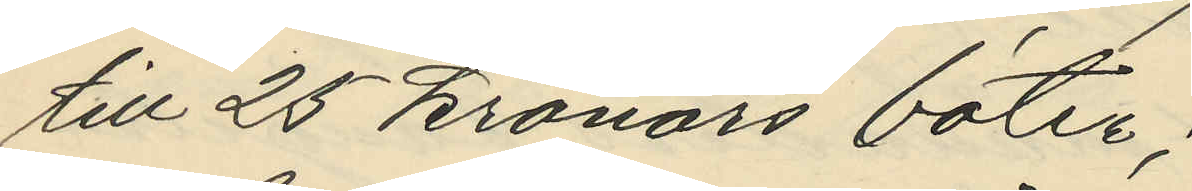till 25 kronors böter;
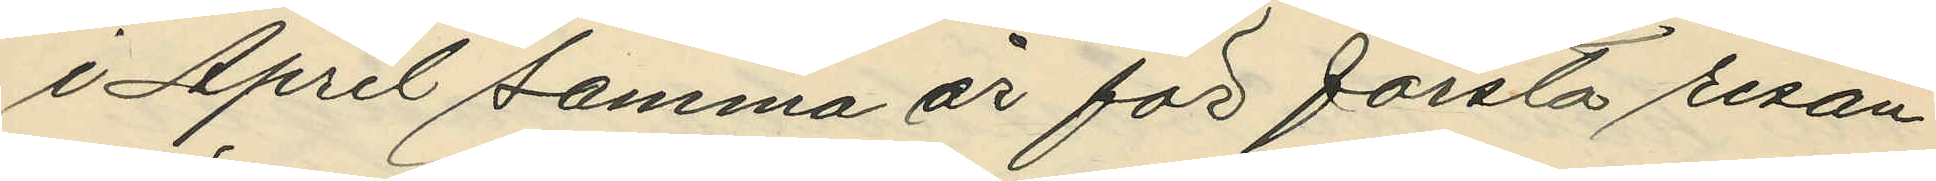i April samma år för första resan
